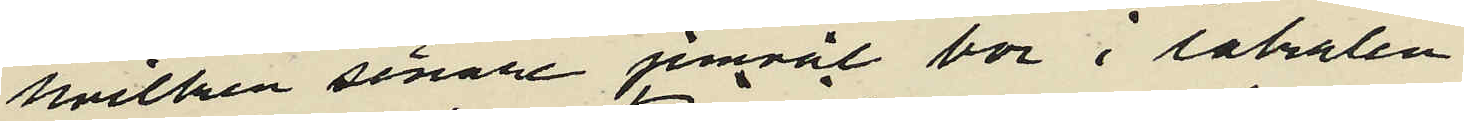hvilken senare jemväl bor i lokalen.
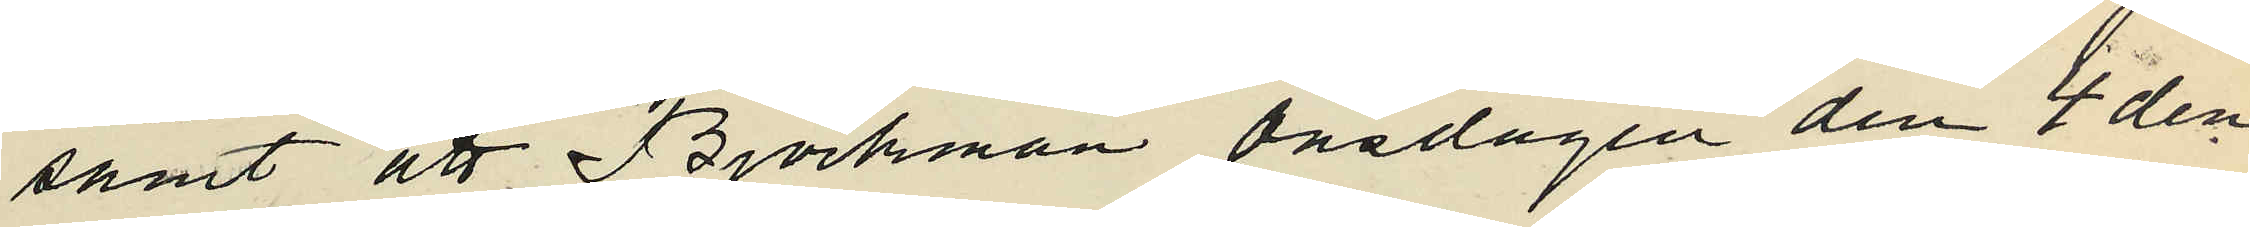samt att Björkman Onsdagen den 4 den¬
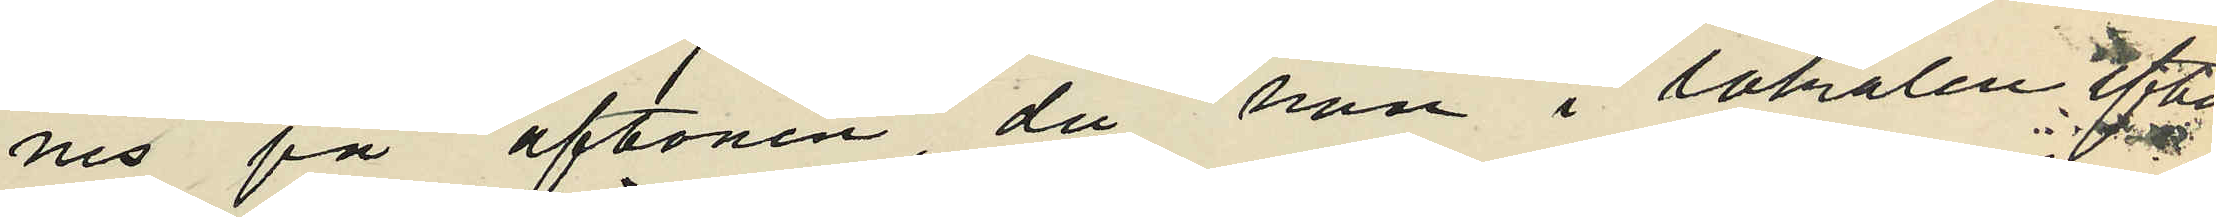nes på aftonen, då han i lokalen efter¬
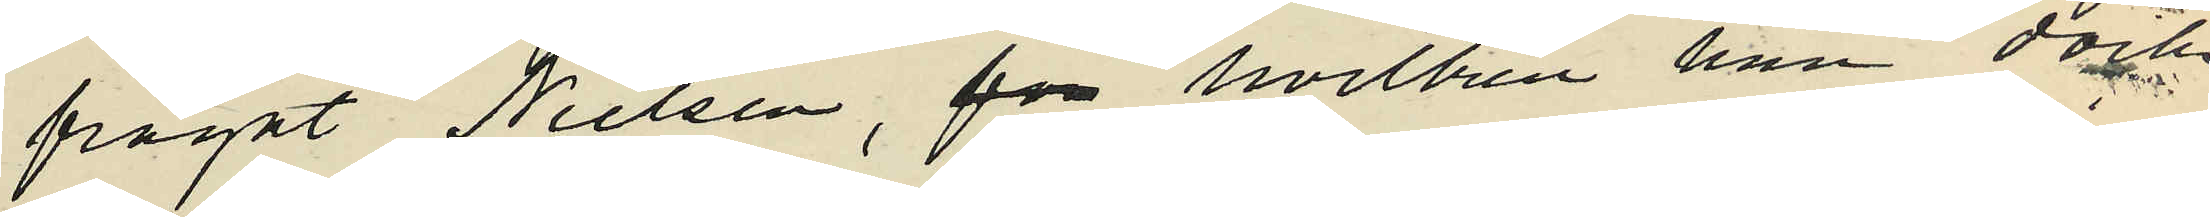frågat Nielsen, för hvilken han dock
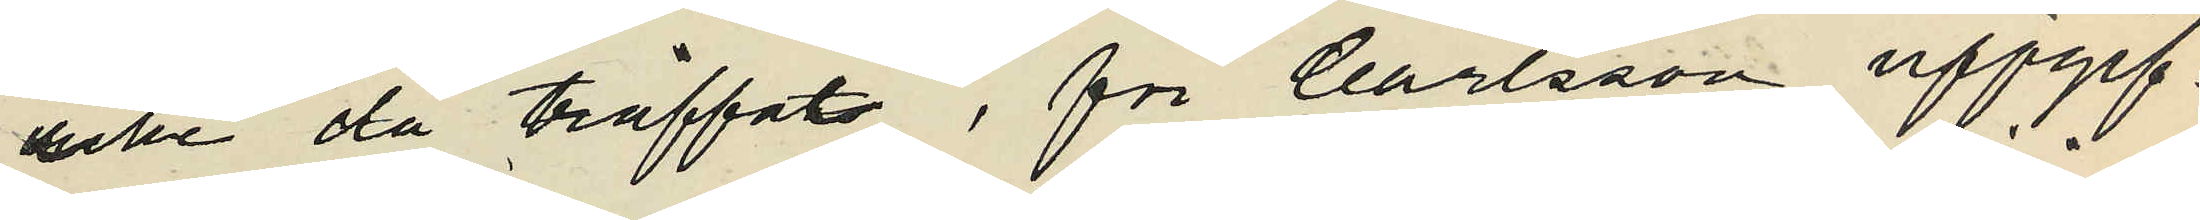icke då träffats, för Carlsson uppgif¬
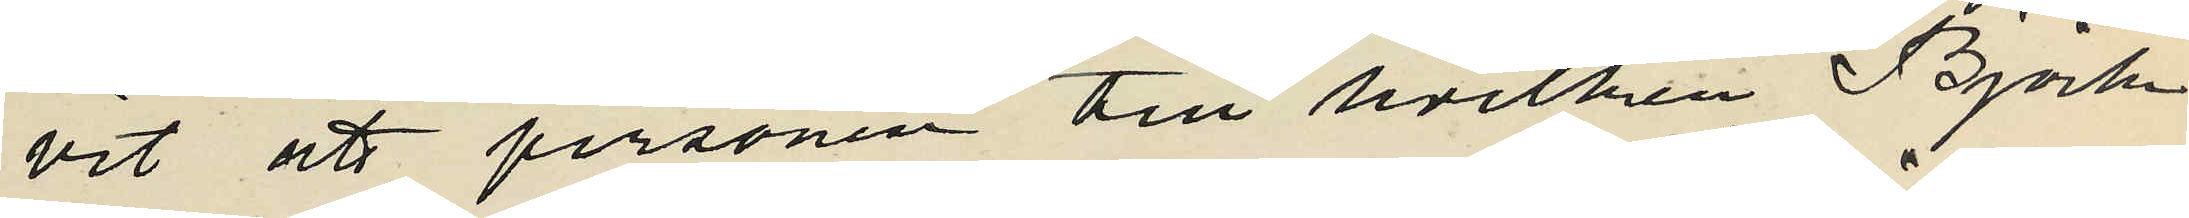vit att personen till hvilken Björk
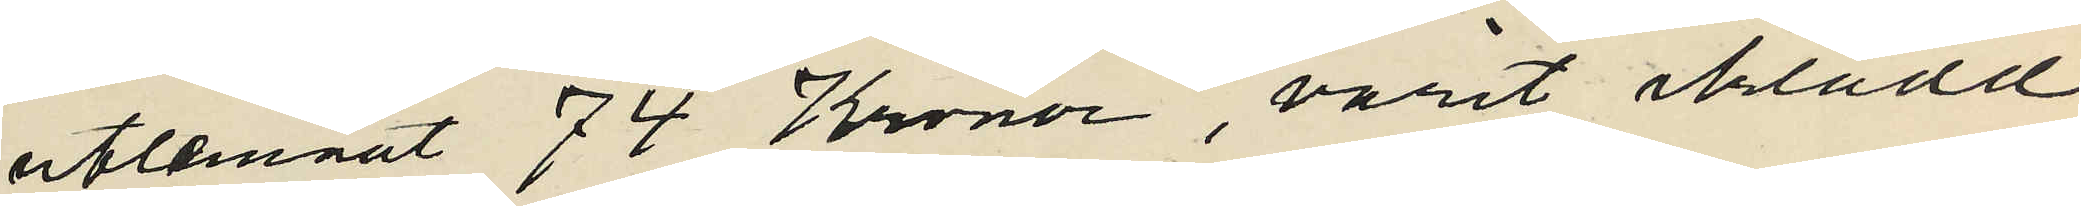utlemnat 74 Kronor, varit iklädd
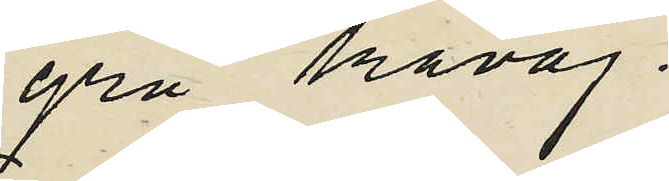grå kavaj.
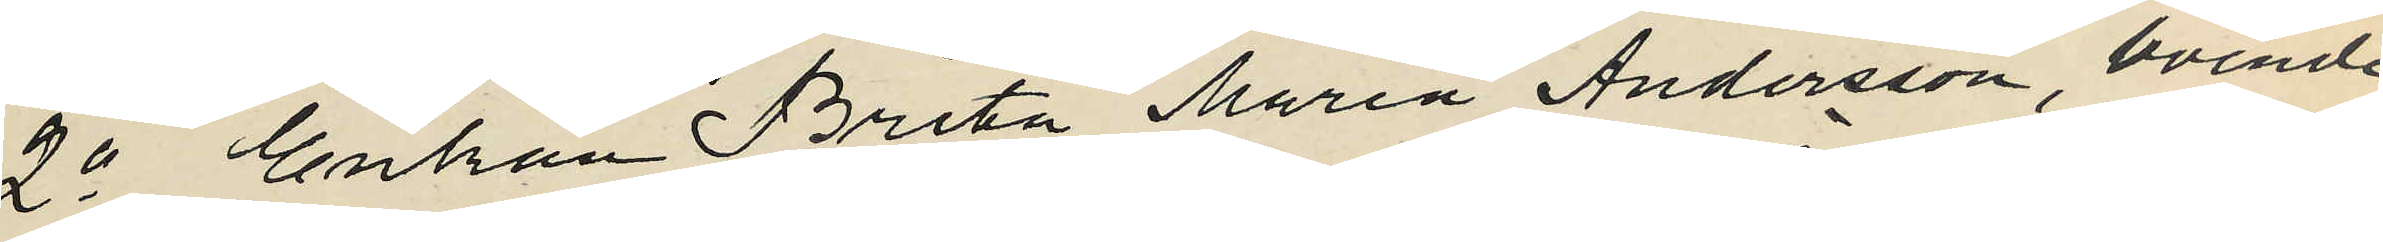2o Enkan Brita Maria Andersson boende
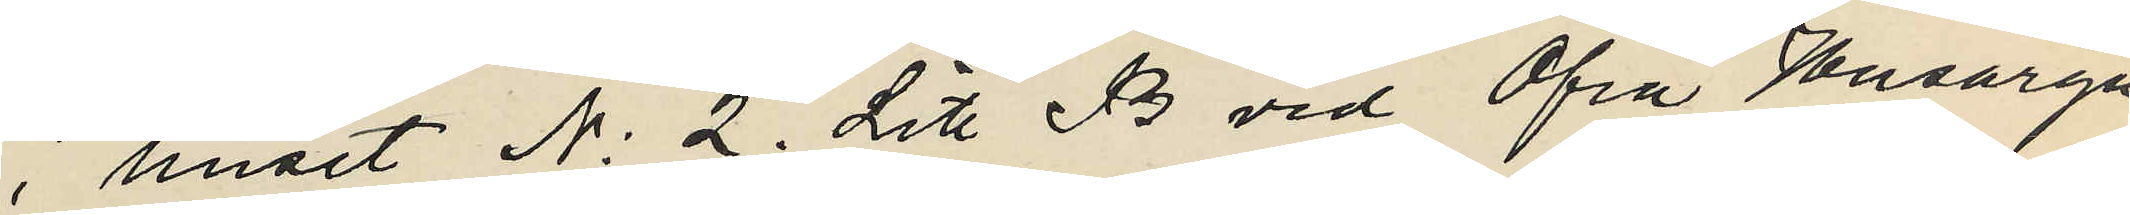i huset N: 2. Litt B vid Öfra Husarga¬
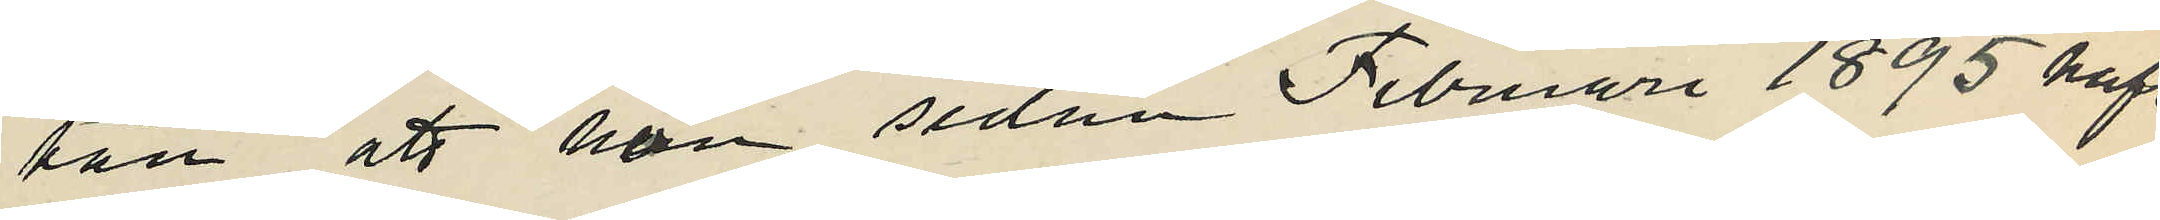tan, att hon sedan Februari 1895 haft
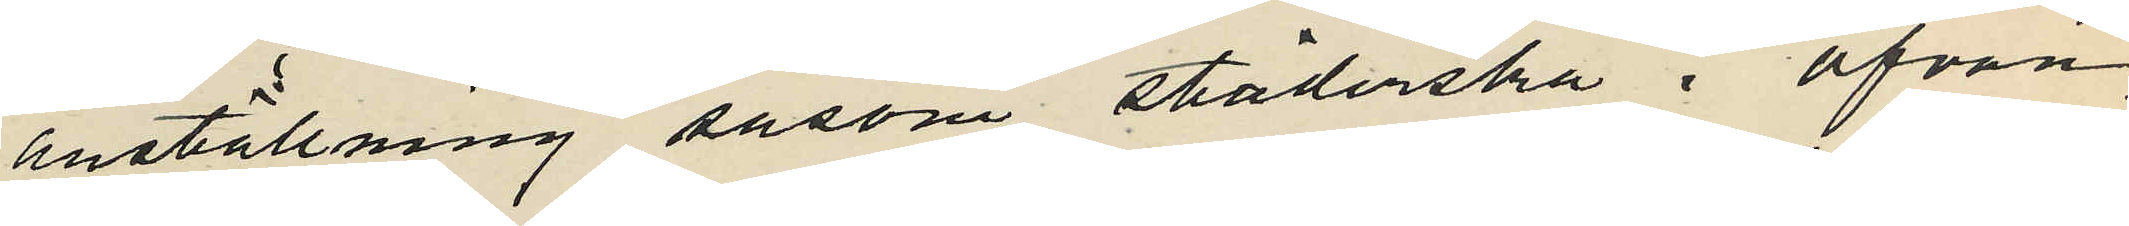anställning såsom städerska i ofvan
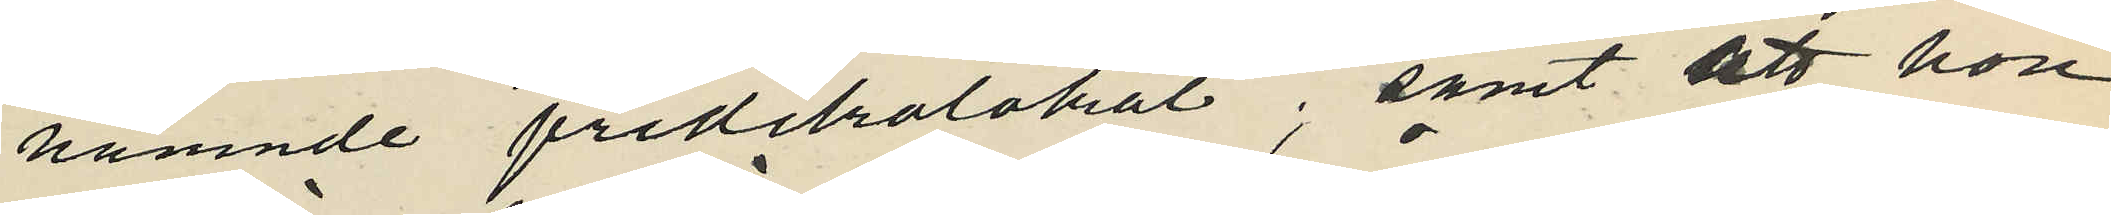nämnde predikolokal; samt att hon
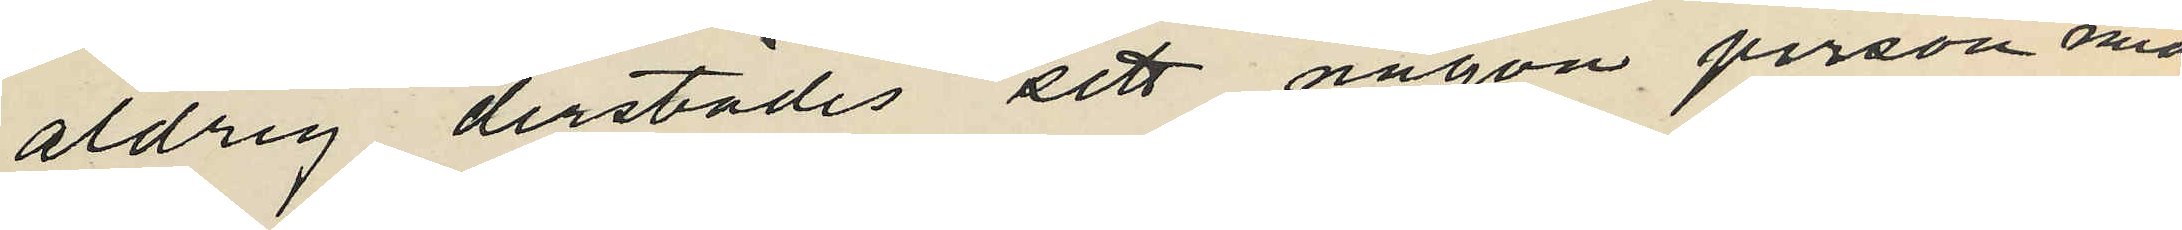aldrig derstädes sett någon person med
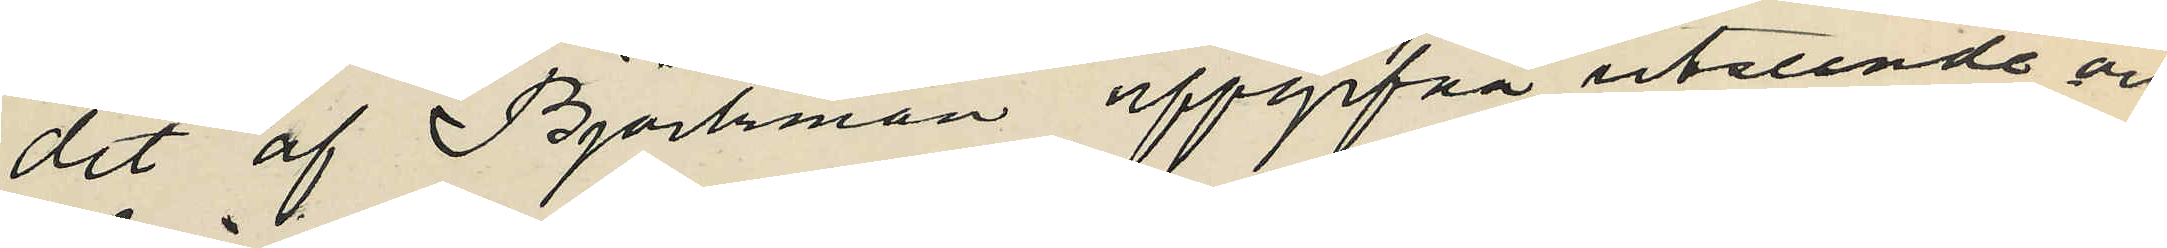det af Björkman uppgifna utseende och
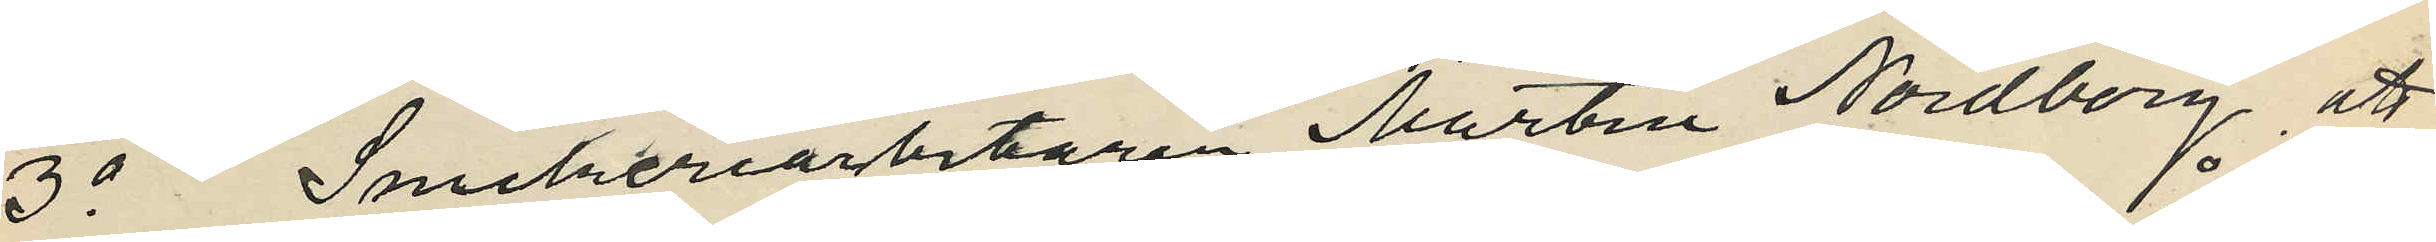3o Snickeriarbetaren Martin Nordberg, att
